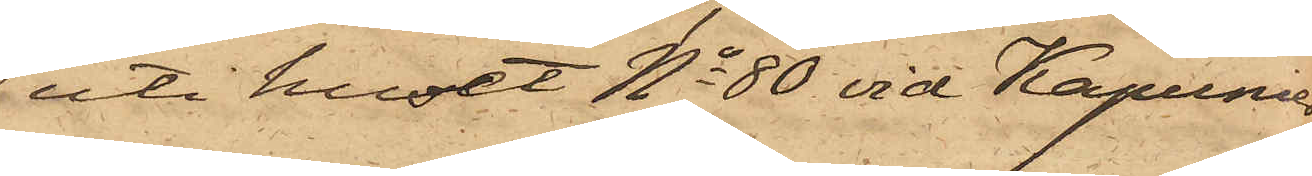uti huset No 80 vid Kapunier¬
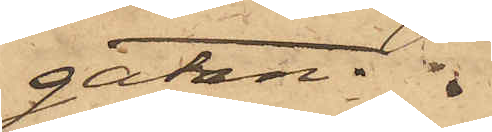gatan.
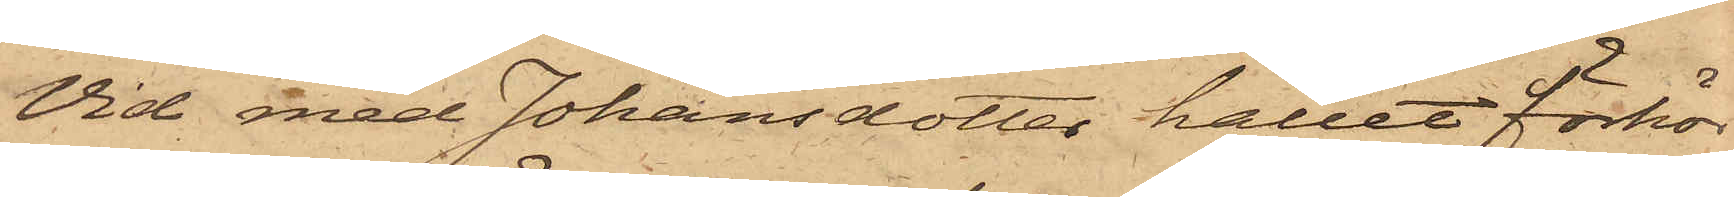Vid med Johansdotter hållet förhör
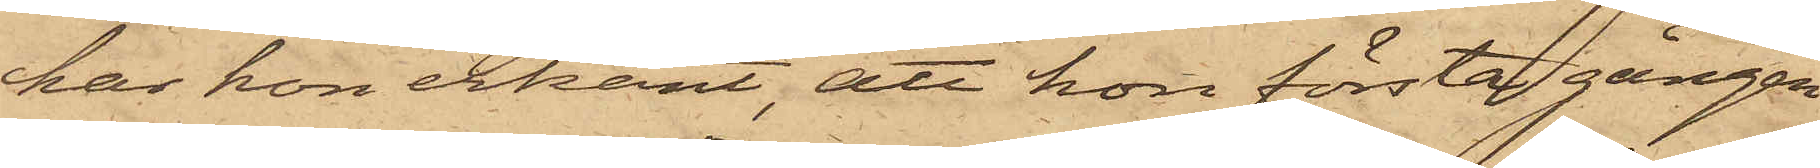har hon erkänt, att hon första gången
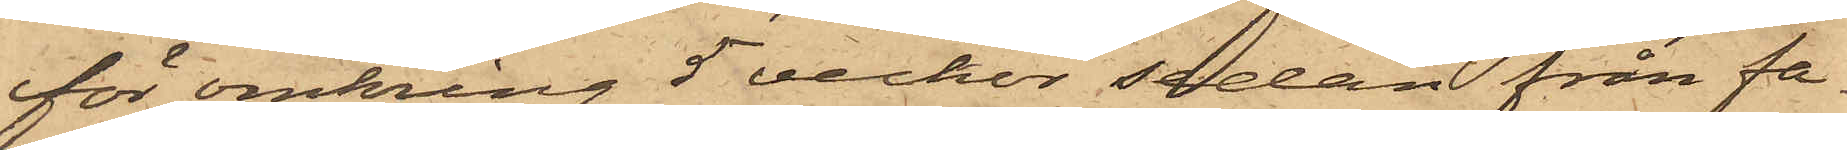för omkring 5 veckor sedan från fa¬
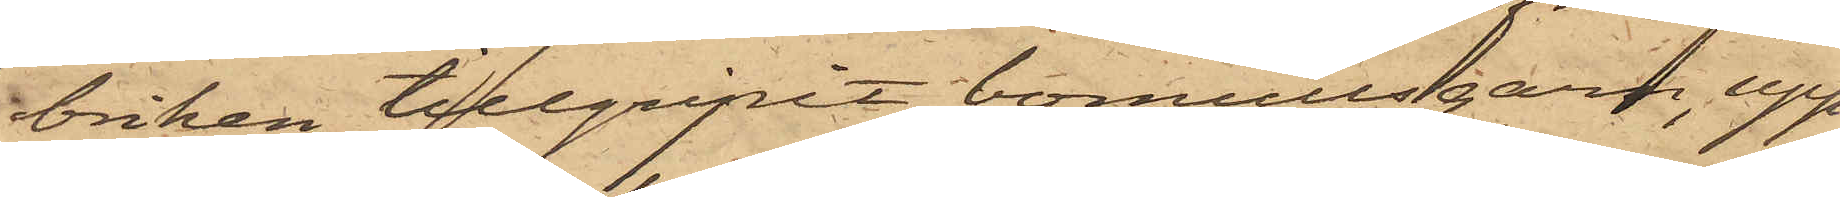briken tillgripit bomullsgarn, upp¬
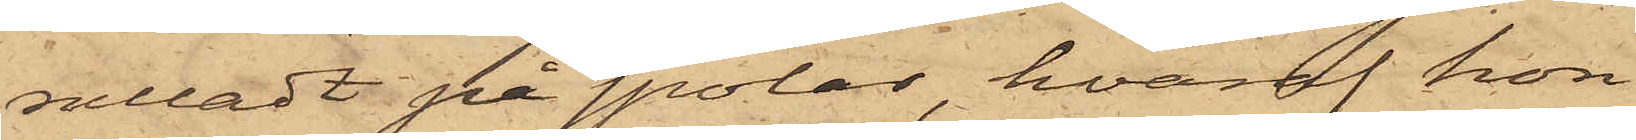rulladt på spolar, hvaraf hon
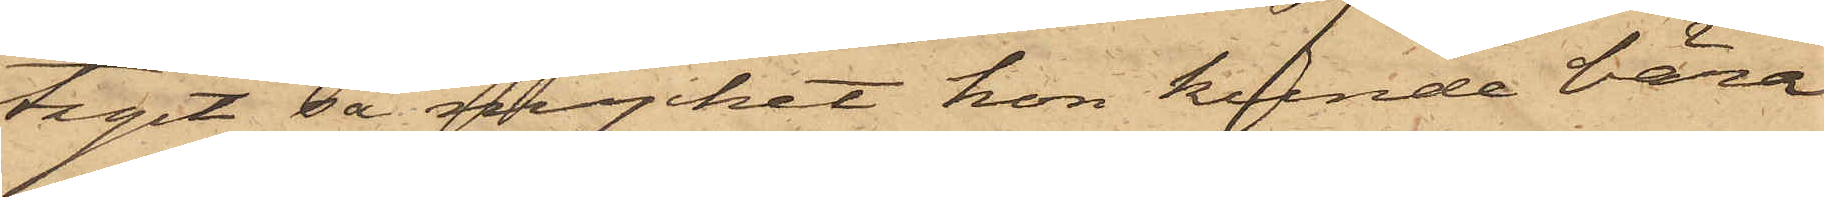tagit så mycket hon kunde bära
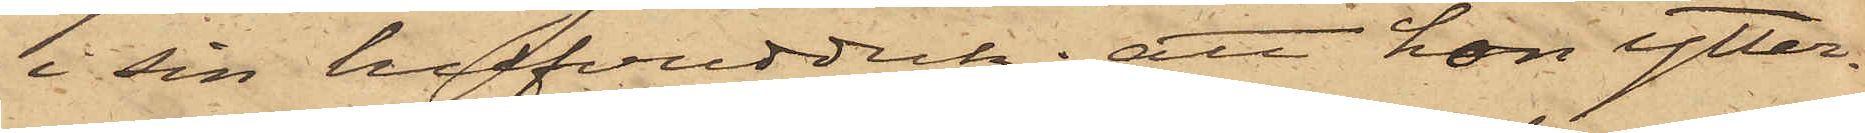i sin hufvudduk; att hon ytter¬
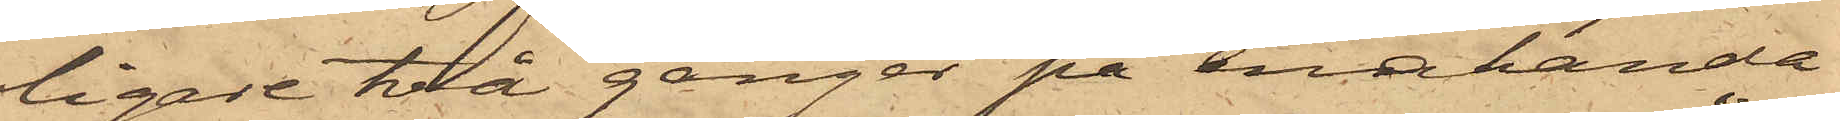ligare två gånger på enahanda
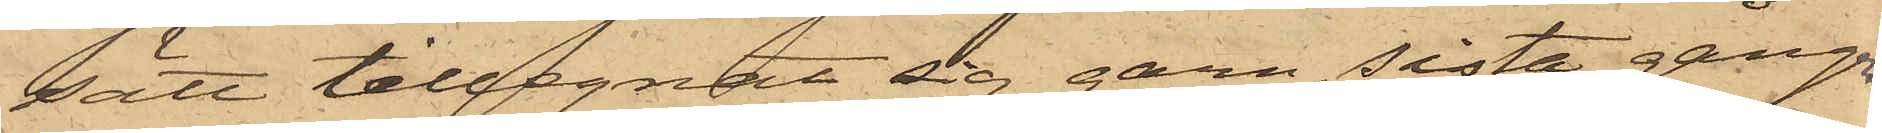sätt tillegnat sig garn, sista gången
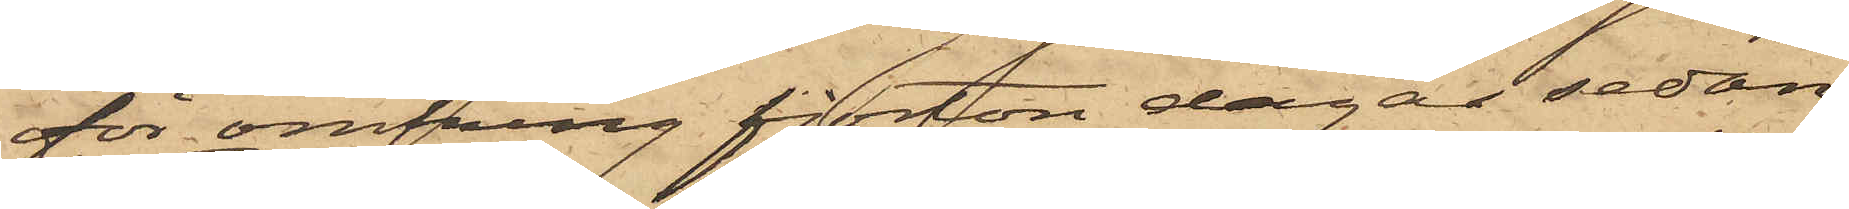för omkring fjorton dagar sedan;
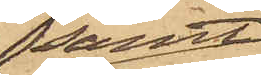samt
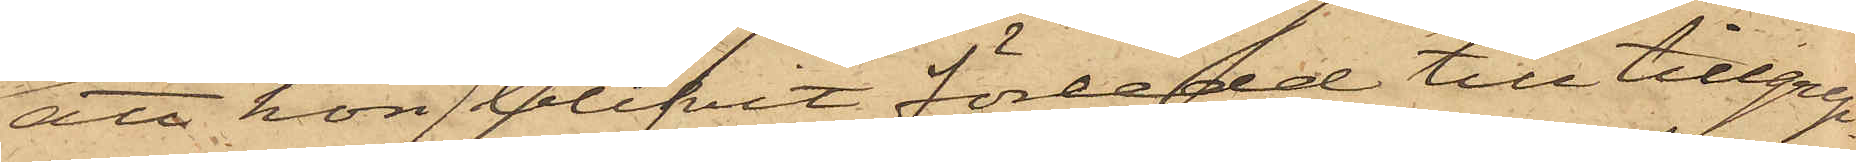att hon blifvit förledd till tillgrep¬
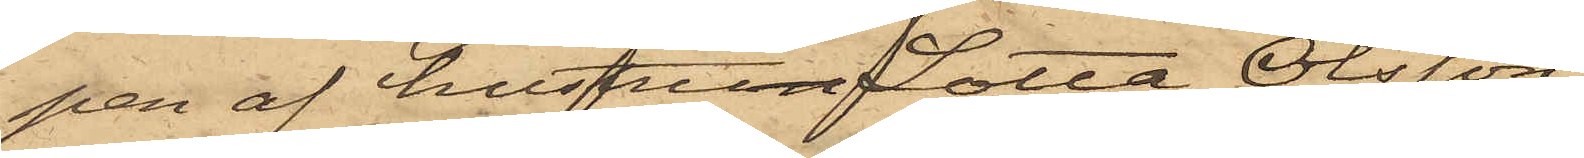pen af hustrun Lotta Olsson
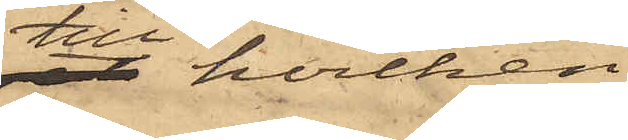till hvilken
